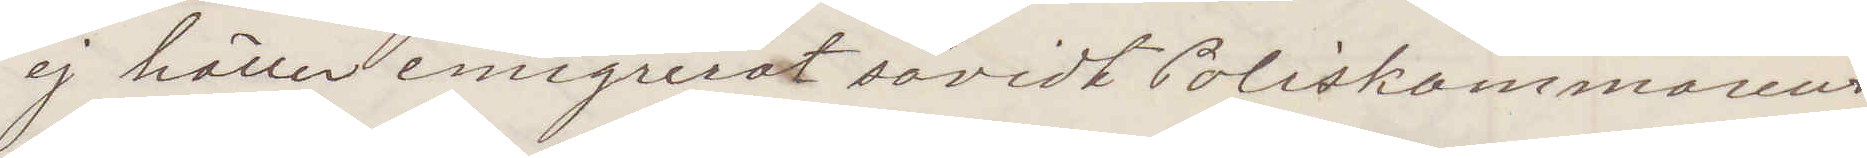ej häller emigrerat såvidt Poliskammarens
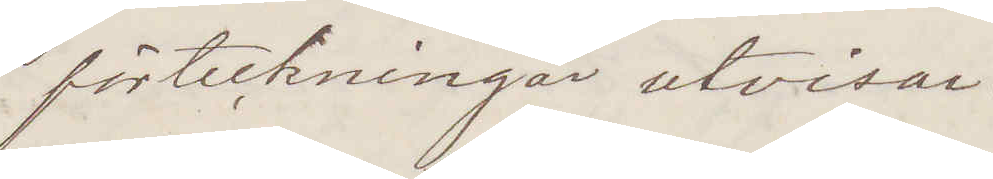förteckningar utvisar
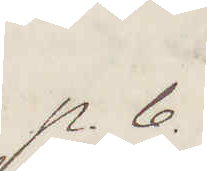p. b.
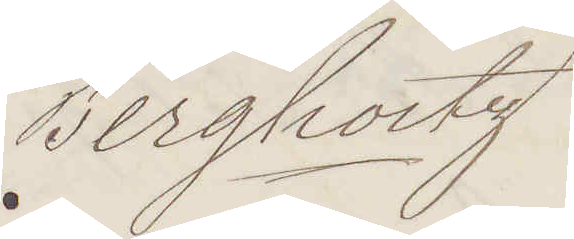Bergholtz
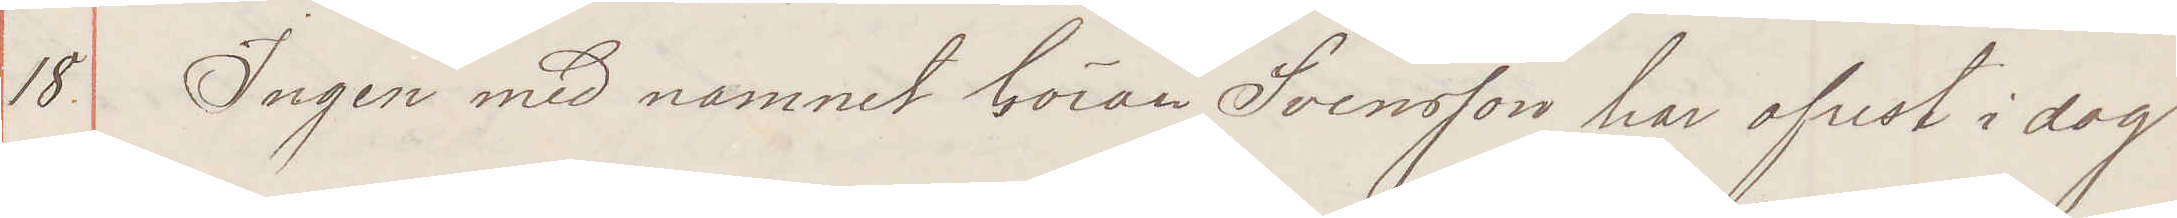18. Ingen med namnet Göran Svensson har afrest i dag
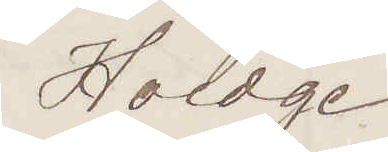Hoedge
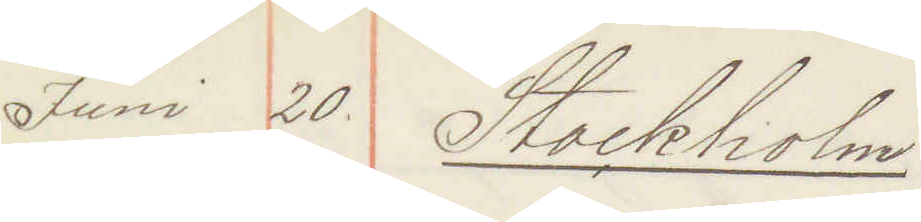Juni 20. Stockholm.
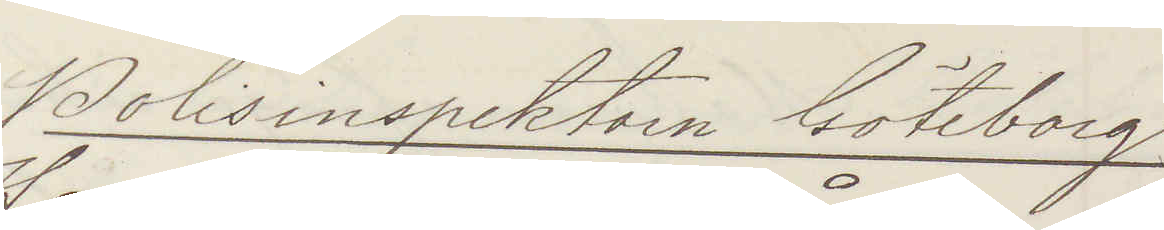Polisinspektorn Göteborg
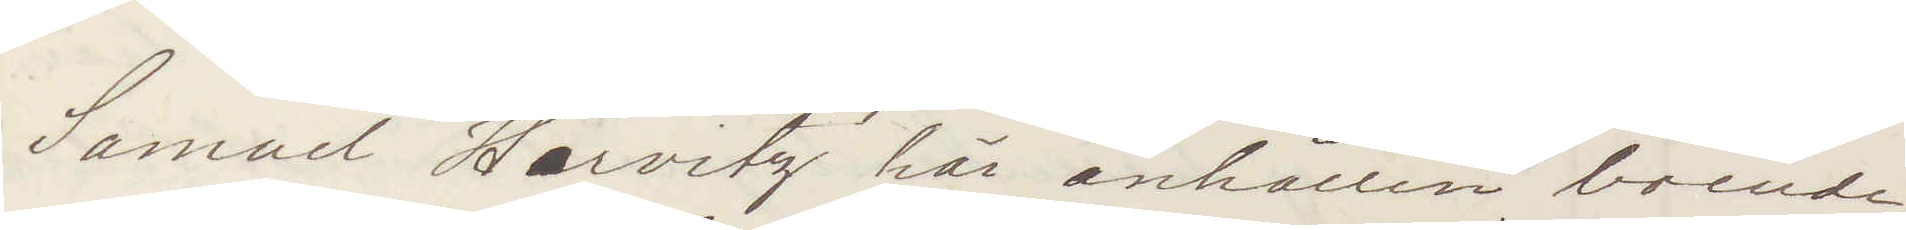Samuel Horvitz här anhållen boende
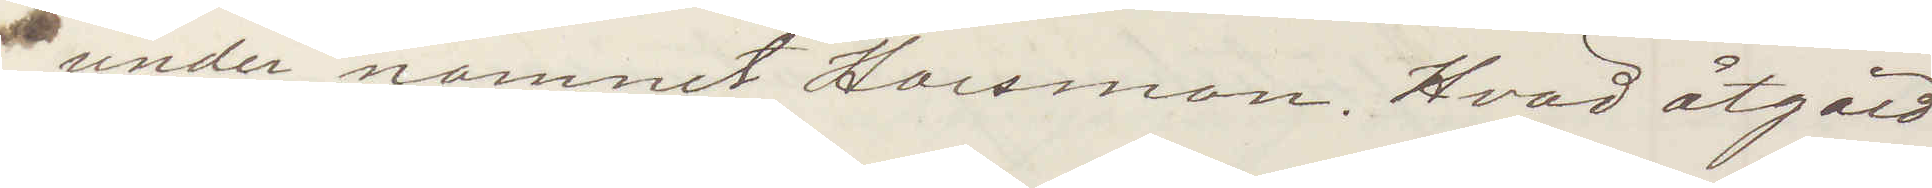under namnet Horsman. Hvad åtgärd
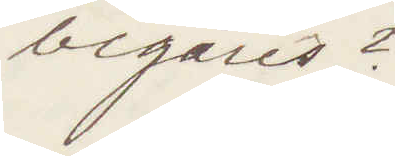begäres?
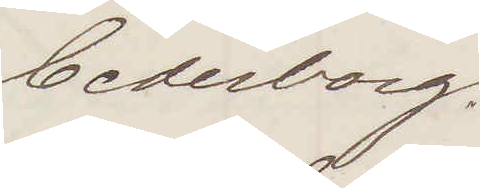Cederborg.
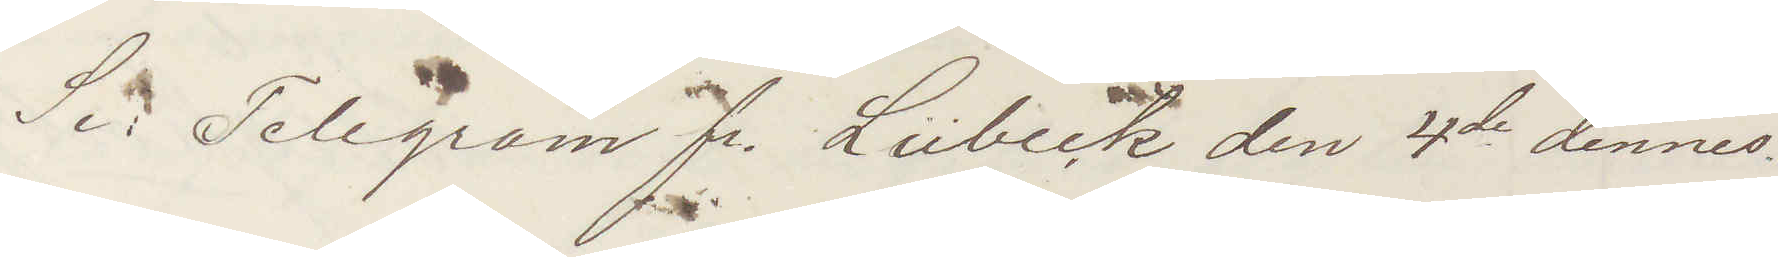Se: Telegram fr. Lübeck den 4de dennes.
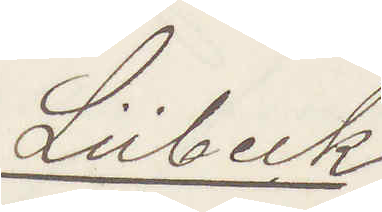Lübeck
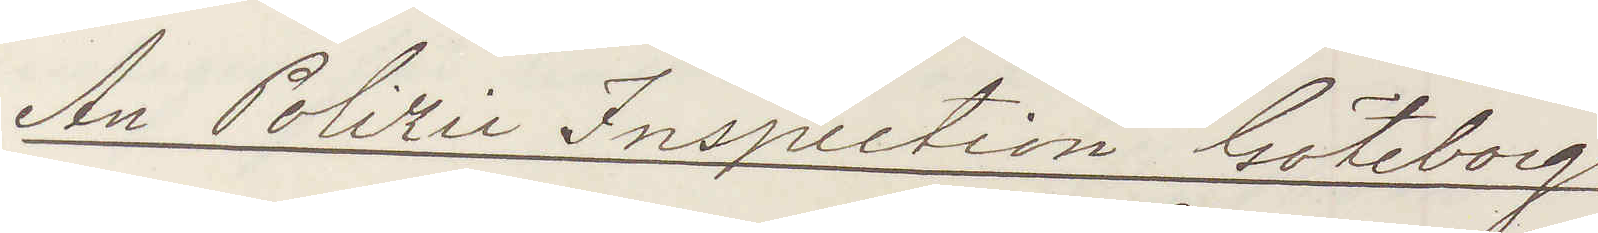An Polizei Inspection Göteborg
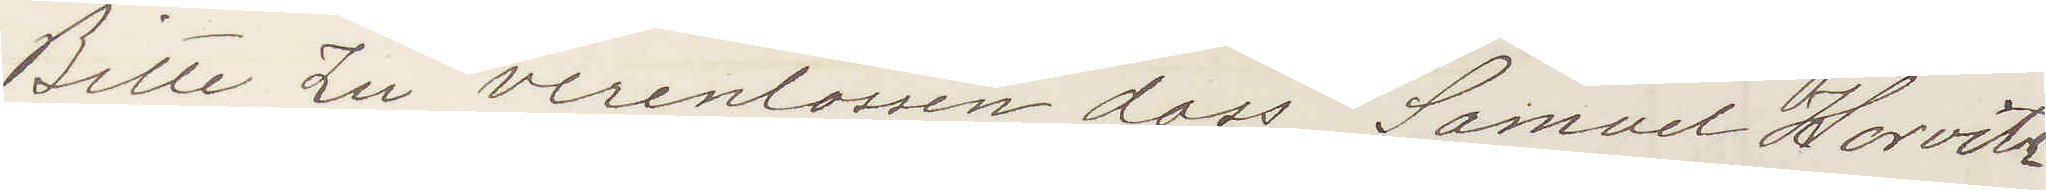Bitte Zu verenlossen dass Samuel Horvitz
